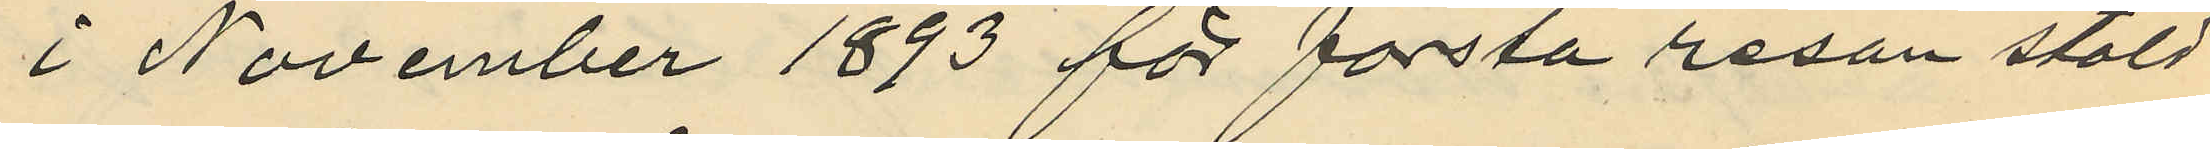i November 1893 för första resan stöld
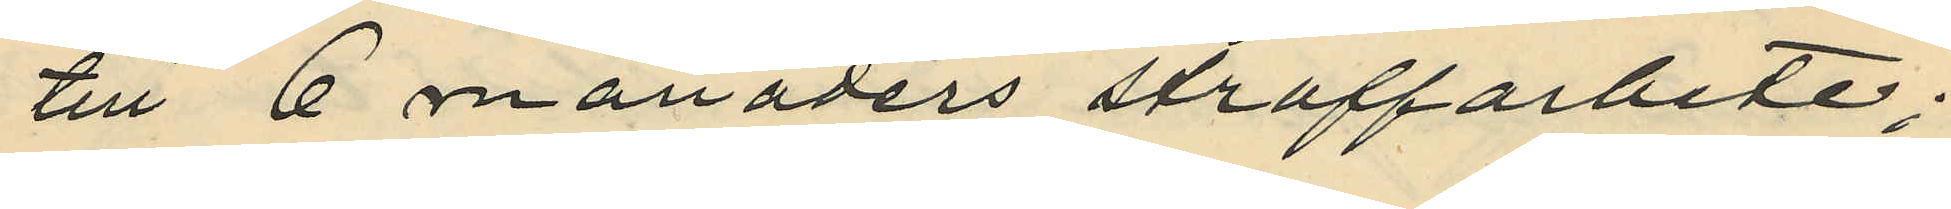till 6 månaders straffarbete;
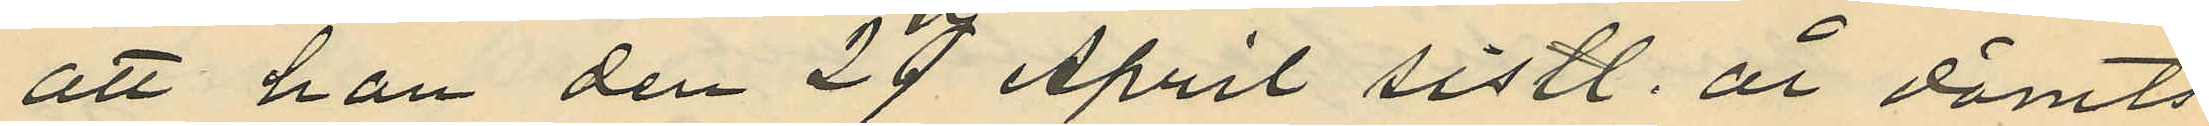att han den 27 April sistl. år dömts
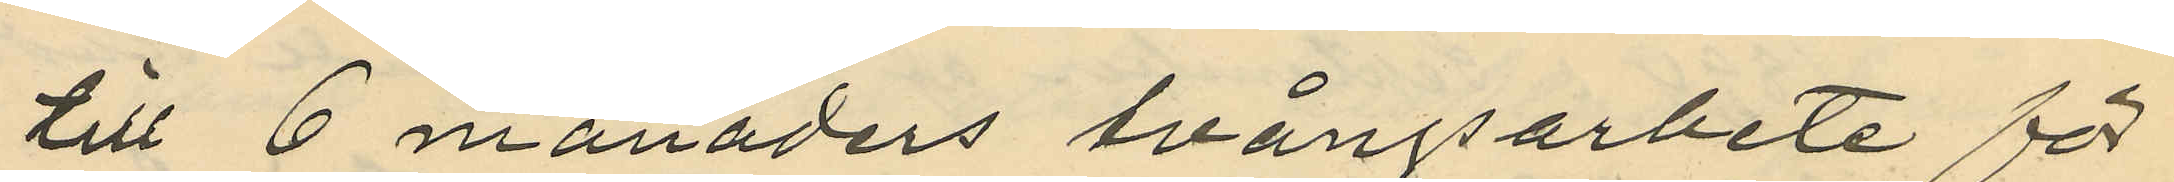till 6 månaders tvångsarbete för
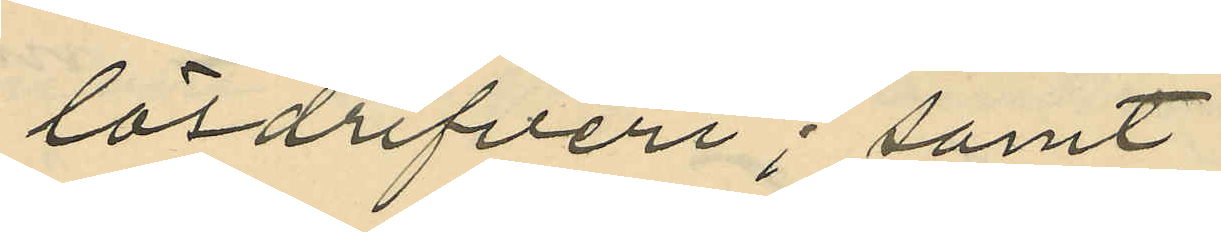lösdrifveri; samt
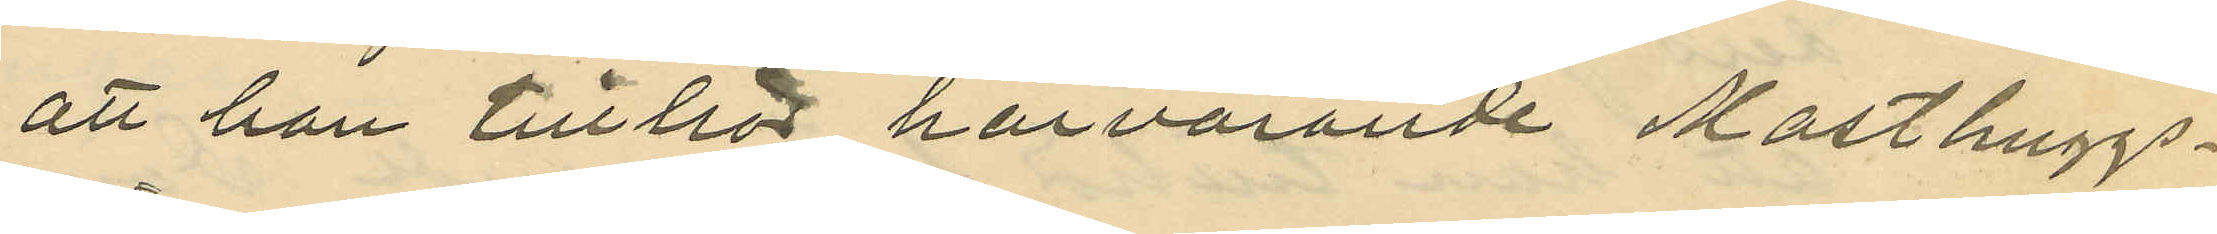att han tillhör härvarande Masthuggs¬
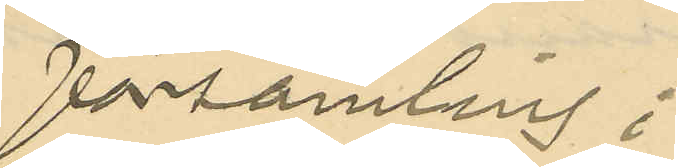församling;
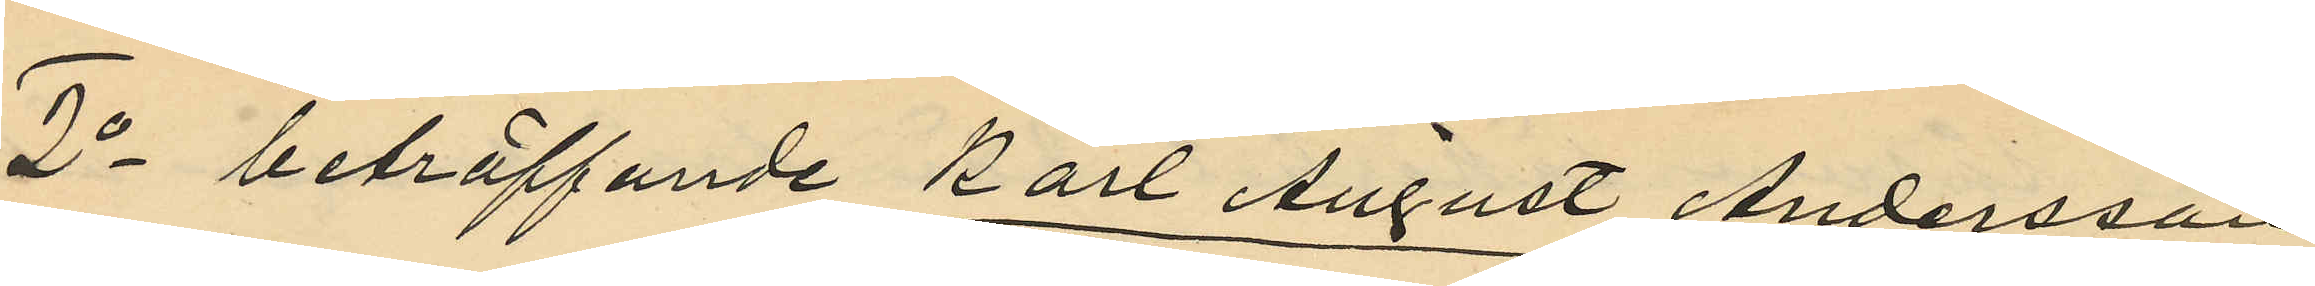2o beträffande Karl August Andersson
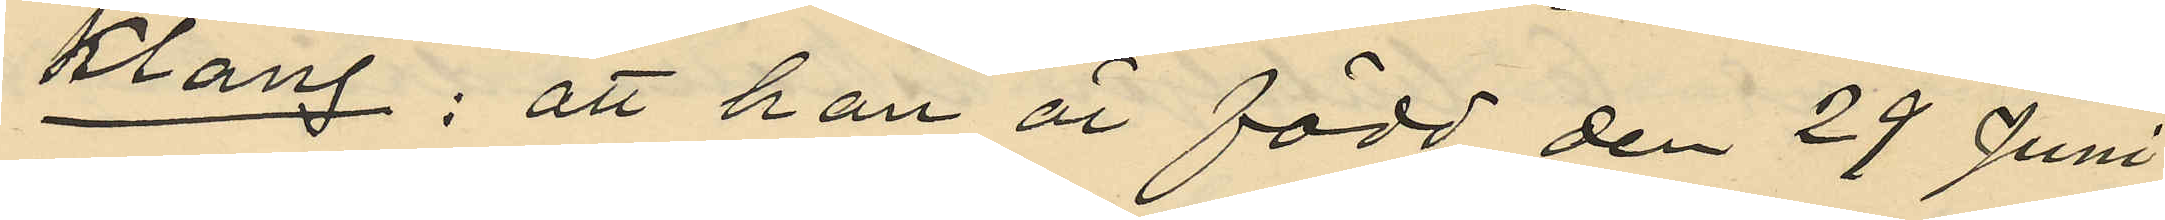Klang: att han är född den 29 Juni
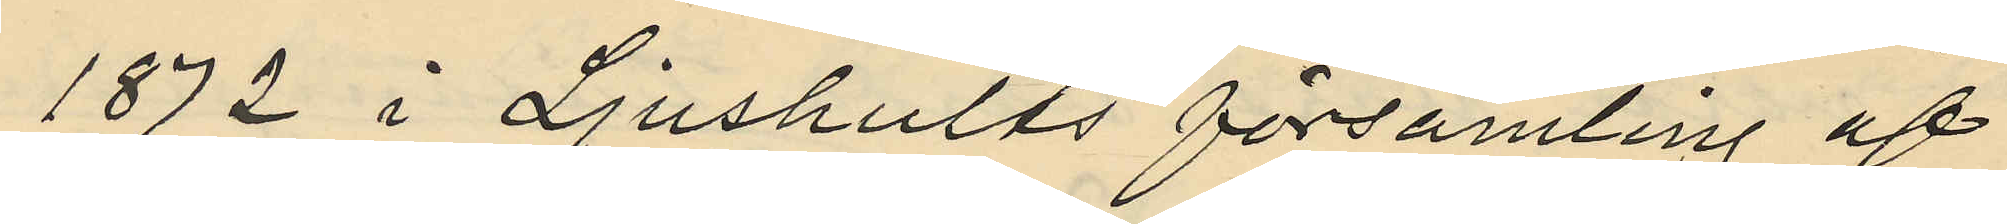1872 i Ljushults församling af
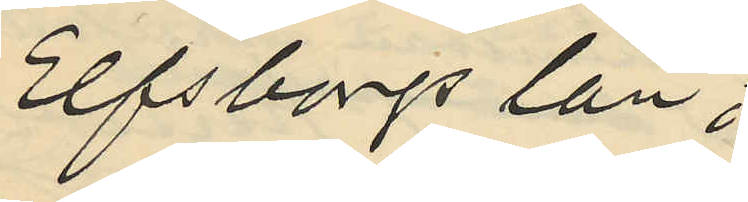Elfsborgs län;
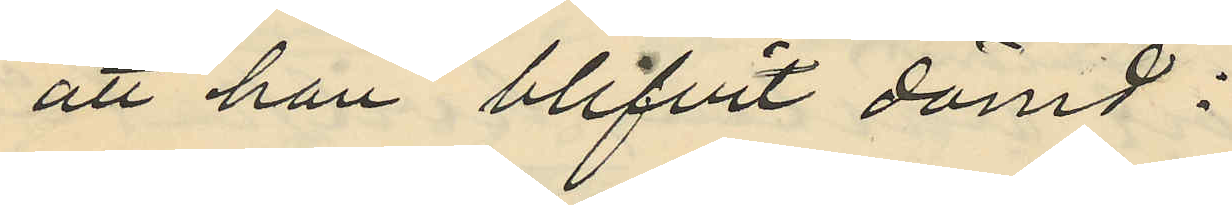att han blifvit dömd:
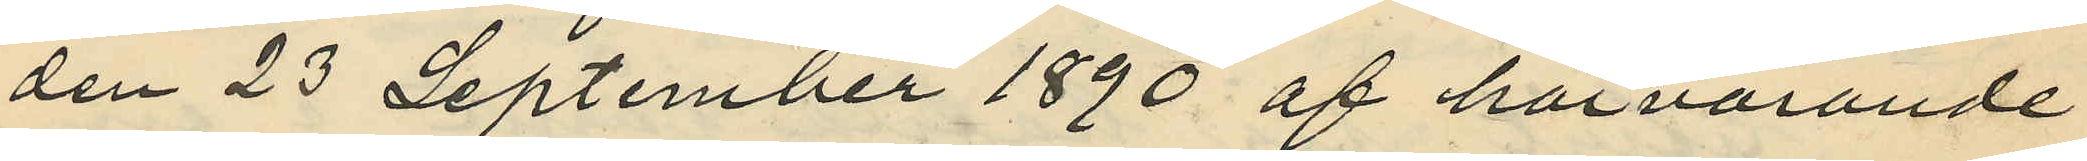den 23 September 1890 af härvarande
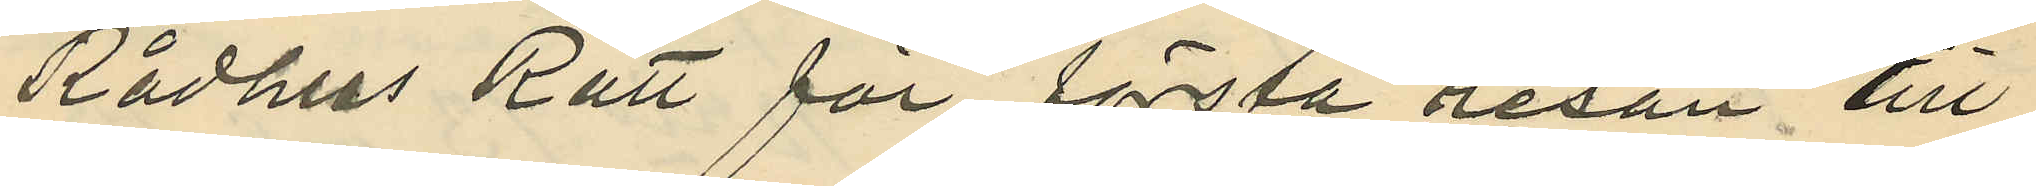Rådhus Rätt för första resan till
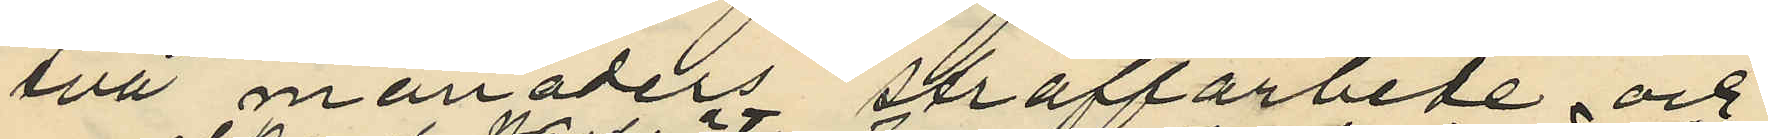två månaders straffarbete och
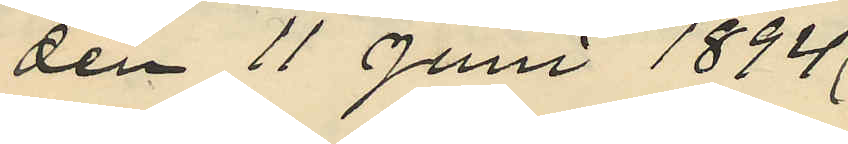den 11 Juni 1894
